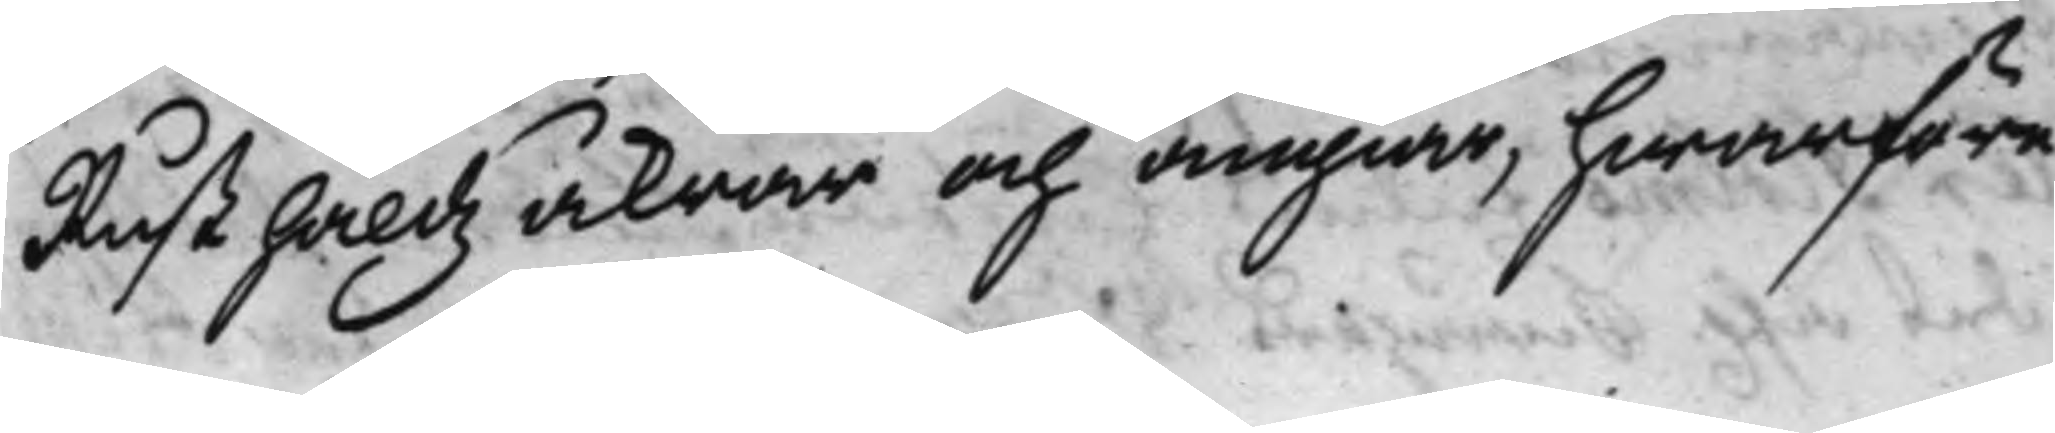Rusthåldz åkrar och ängiar, hwarföre
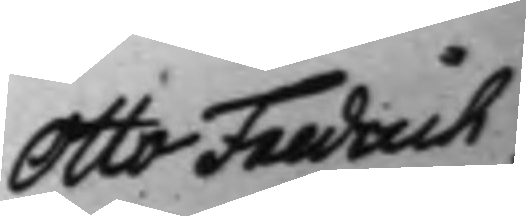Otto Fredrich
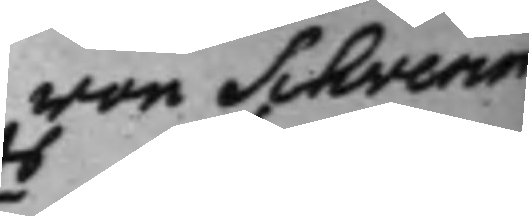von Schverin
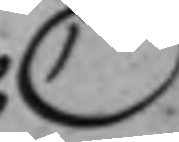C
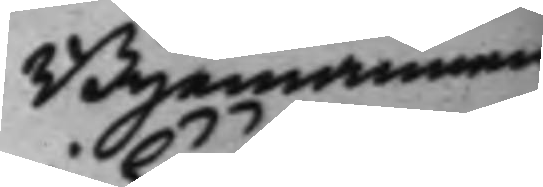Byamännen
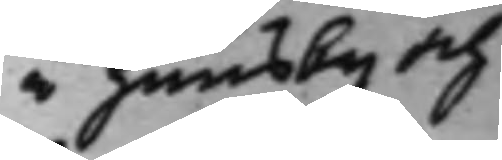i huusby och
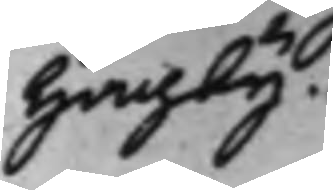Hagby.
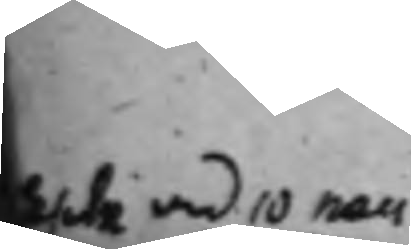10 non
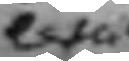esta
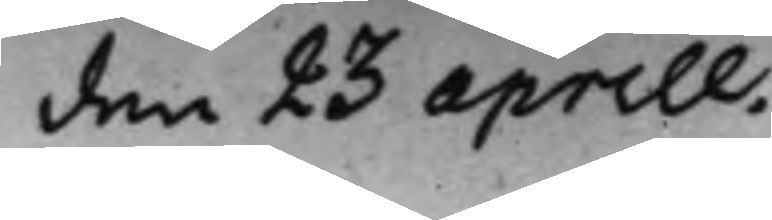den 23 aprill.
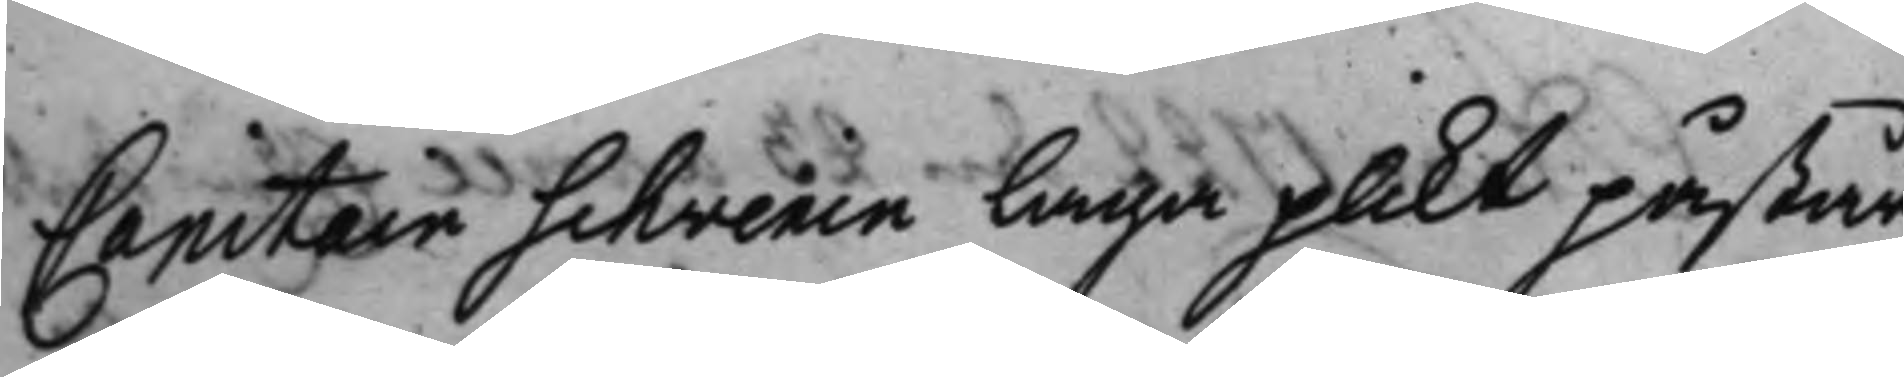Capitain Schverin laga plikt påstår,
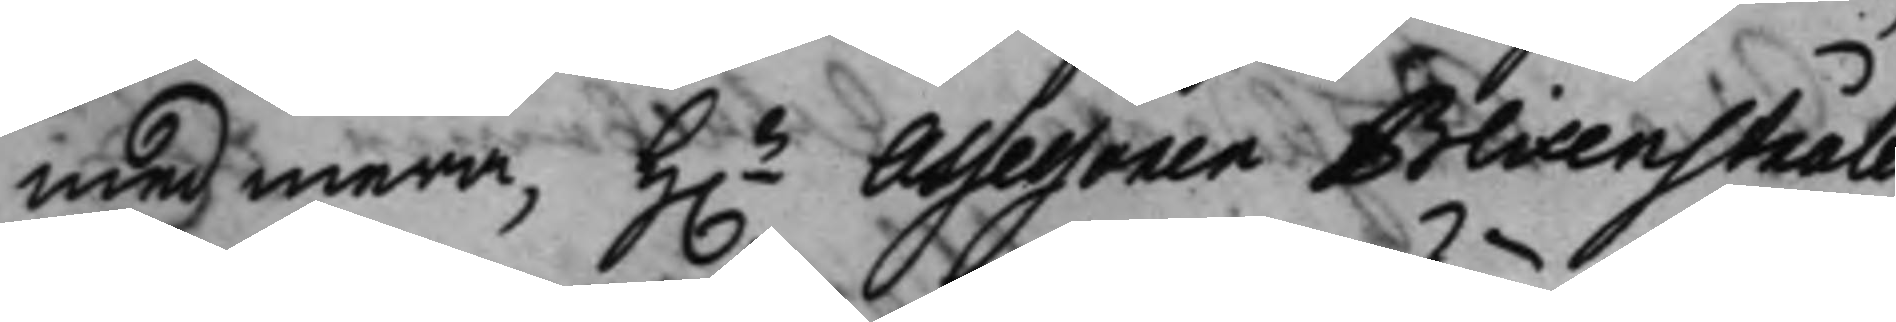med mera, h.r Assessoren Blixenstråle 
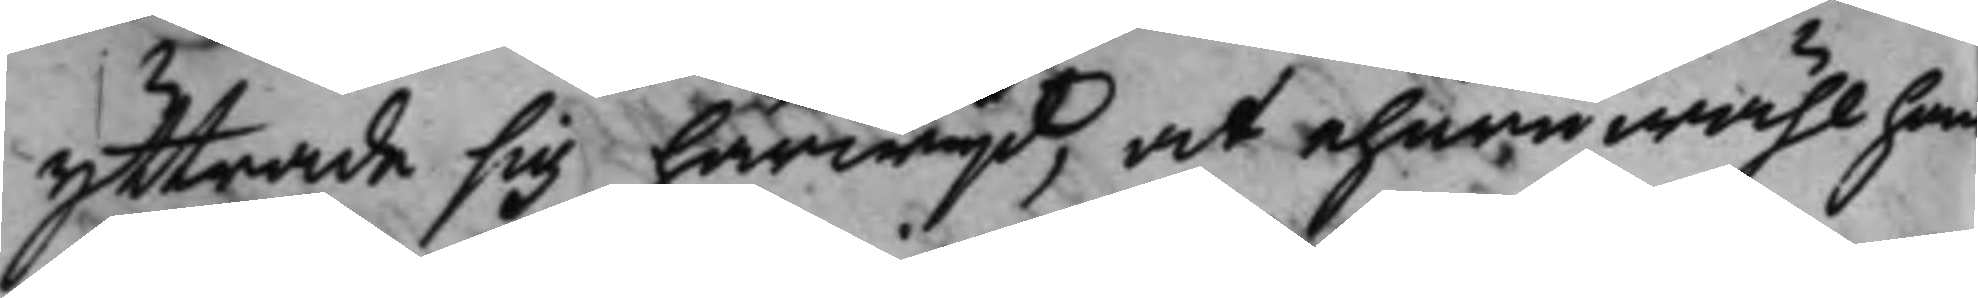yttrade sig härwijd, at ehuru wähl han
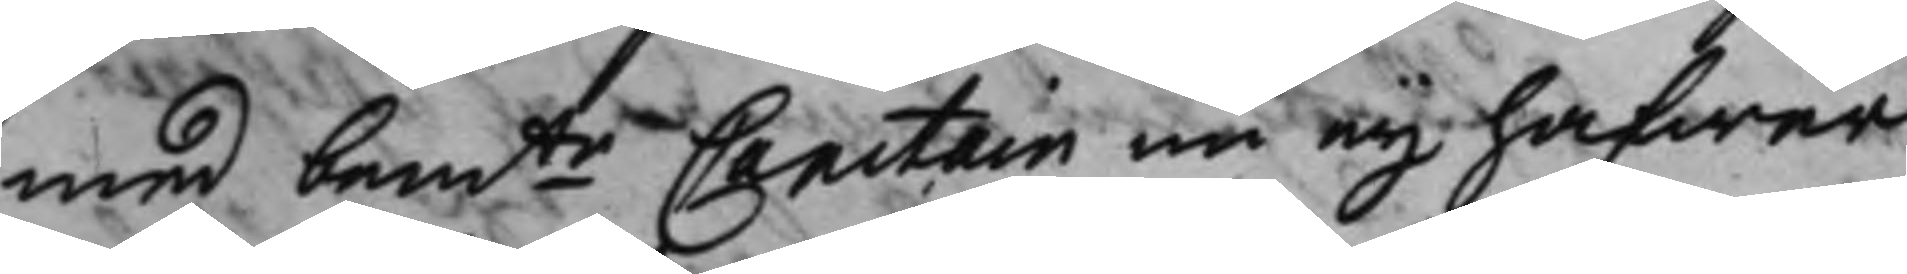med bemte Capitain nu eij hafwer 
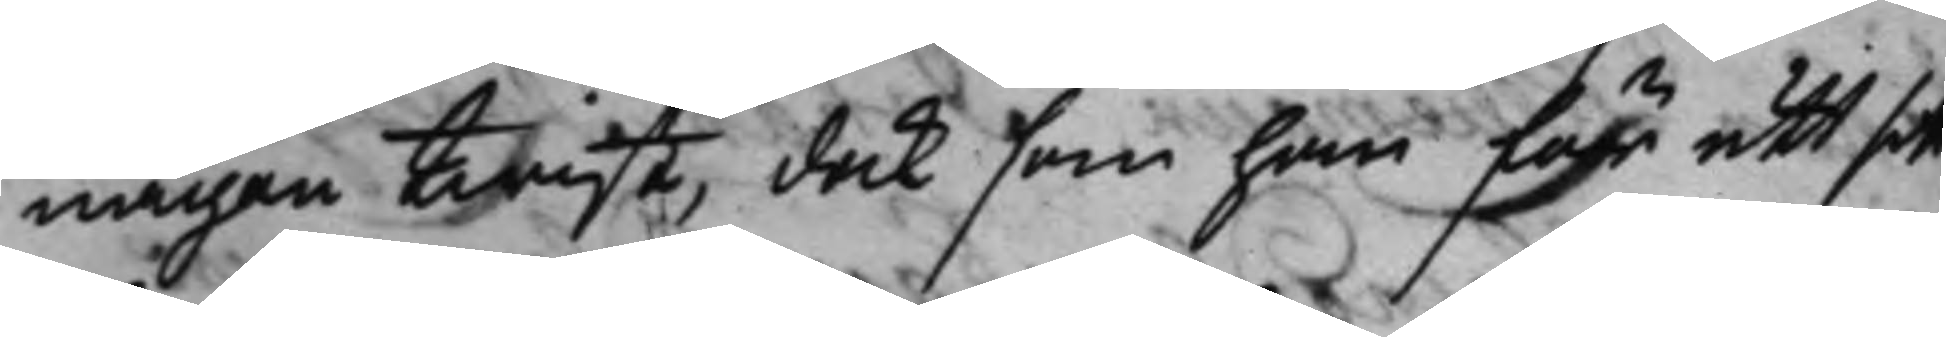någon twist, dock som han för ett sitt
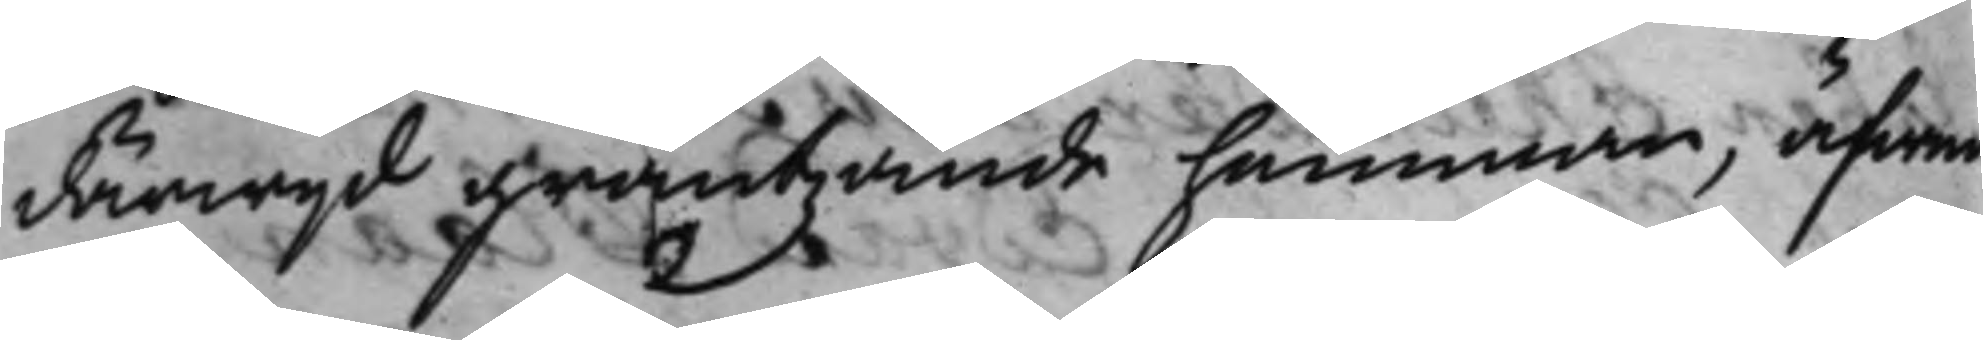därwijd gräntzande hemman, äfwen
